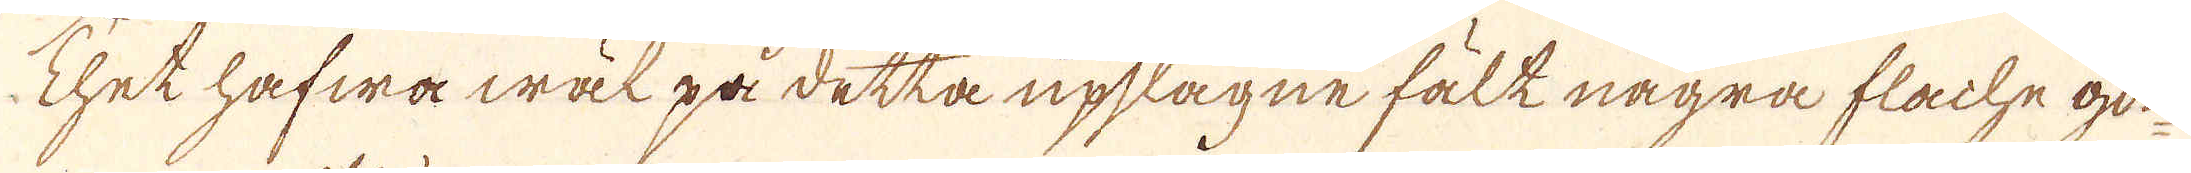Thet hafwa wäl på detta upslagne fält några flache gon-
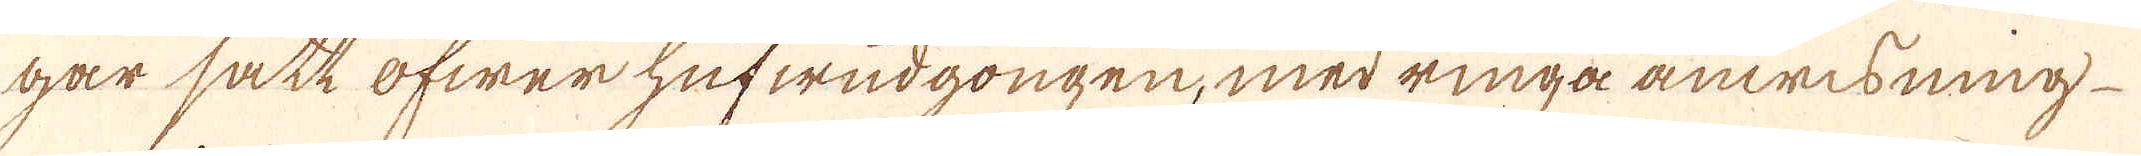gar satt öfwer hufwudgongen, med ringa anwisning
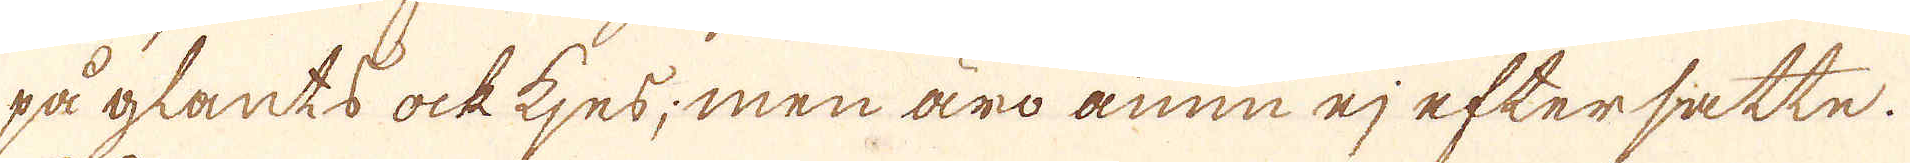på glants ock tjes; men äro ännu ej eftersatte.
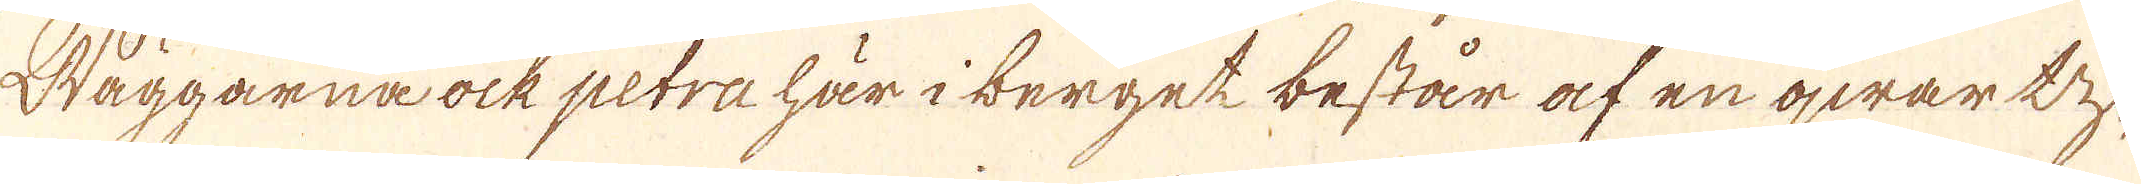Wäggarna ock petra här i berget består af en qwartz-
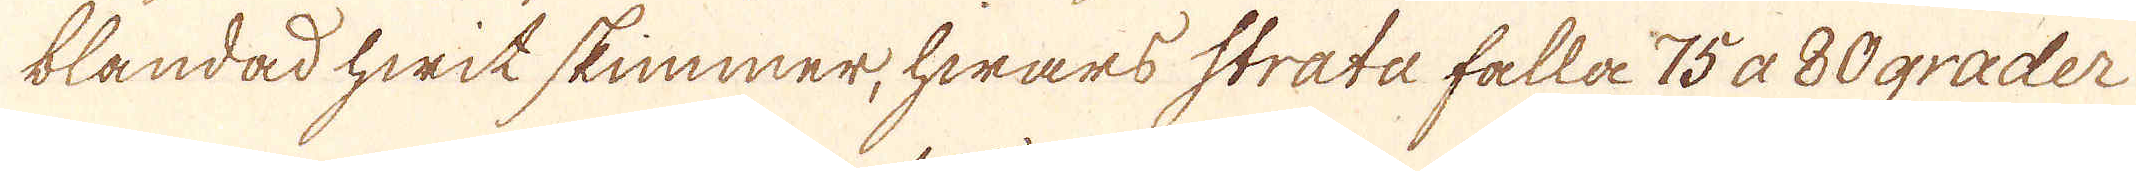blandad hwit skimmer, hwars strata falla 75 a 80 grader
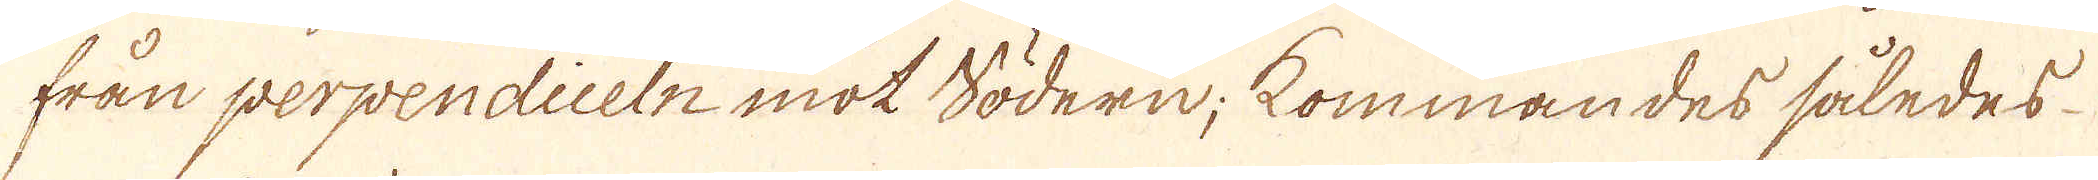från perpendiceln mot södern; kommandes således
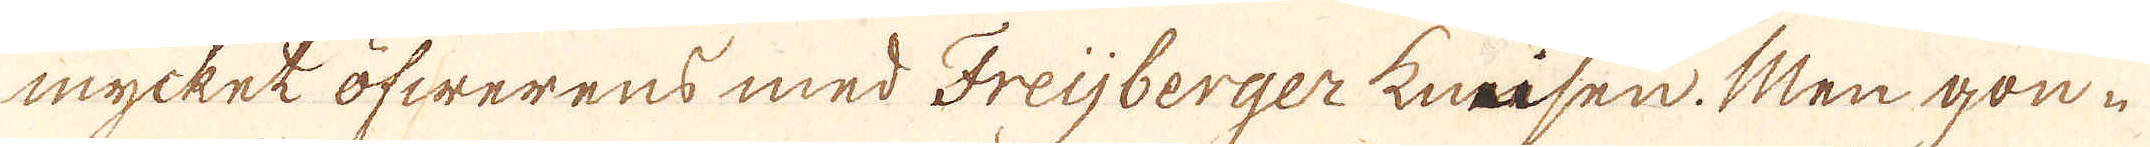mycket öfwerens med Freijberger kneisen. Men gon-
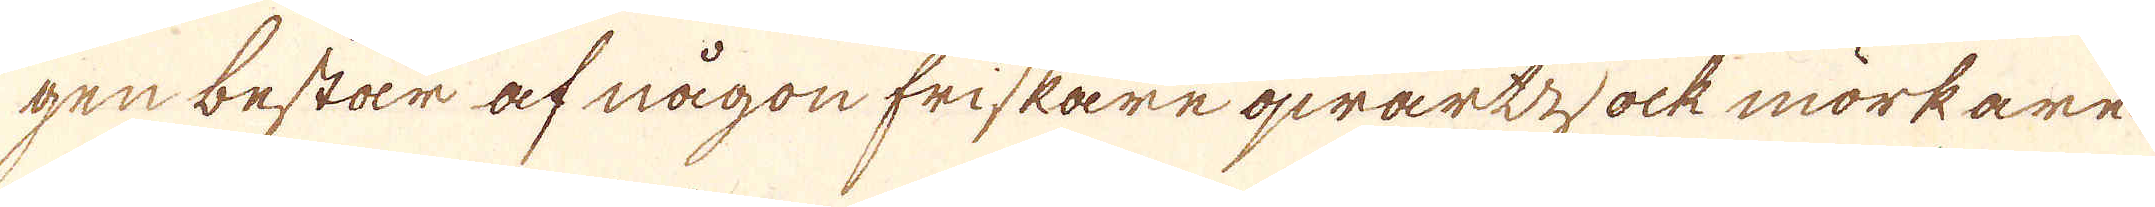gen består af någon friskare qwartzock mörkare
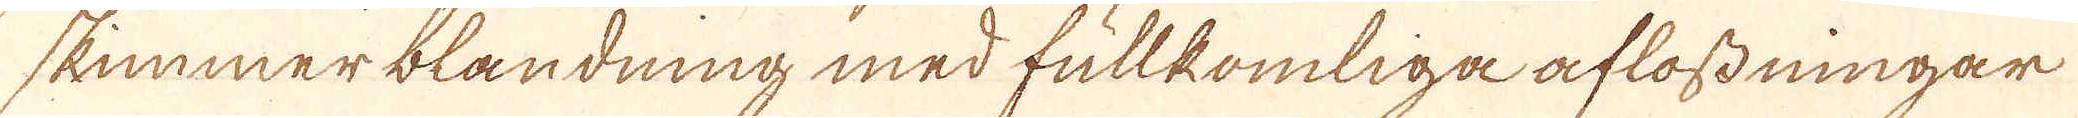skimmer blandning med fullkomliga aflossningar
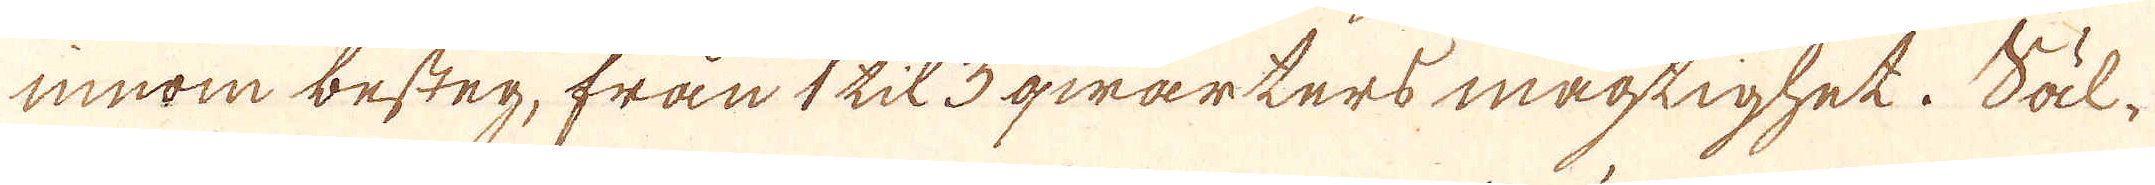innom besteg, från 1 til 3 qwarters mägtighet. Säl-
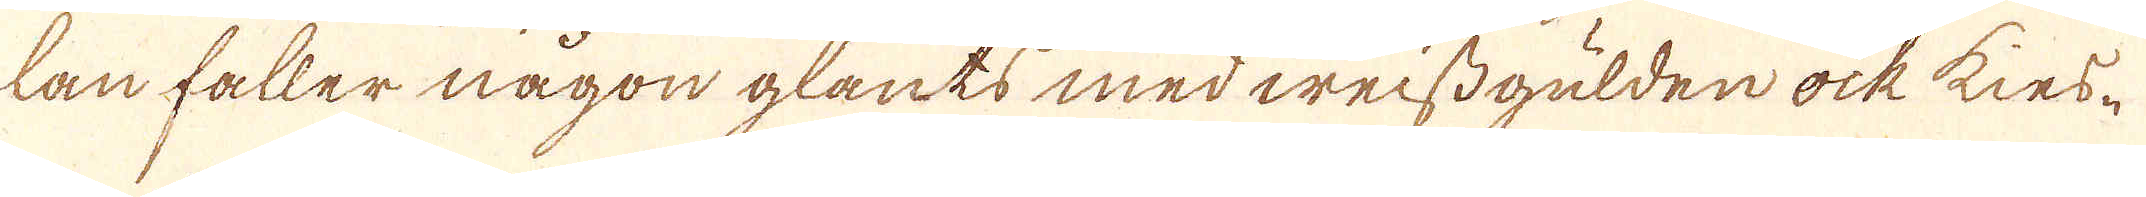lan faller någon glants med weissgulden ock kies-
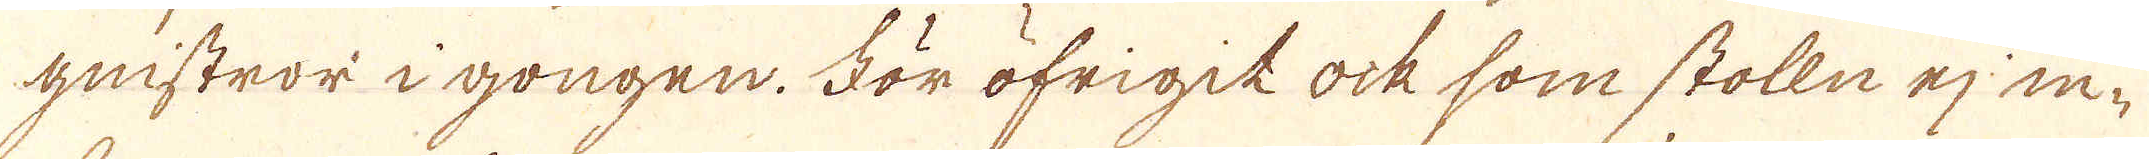gnistror i gongen. För öfrigit ock som stolln ej in-
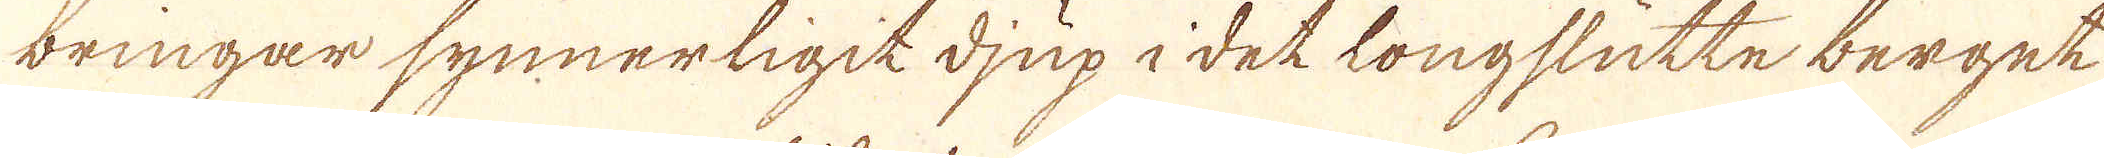bringar synnerligit djup i det longslutte berget
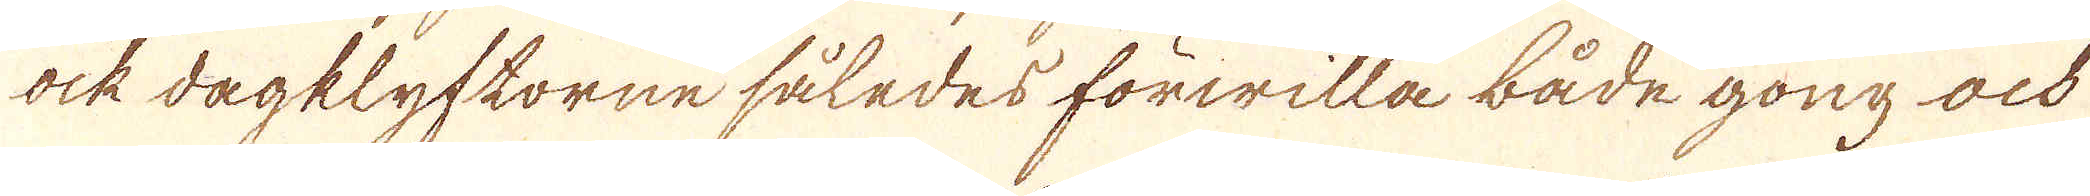ock dagklyftorne således förwilla både gong ock
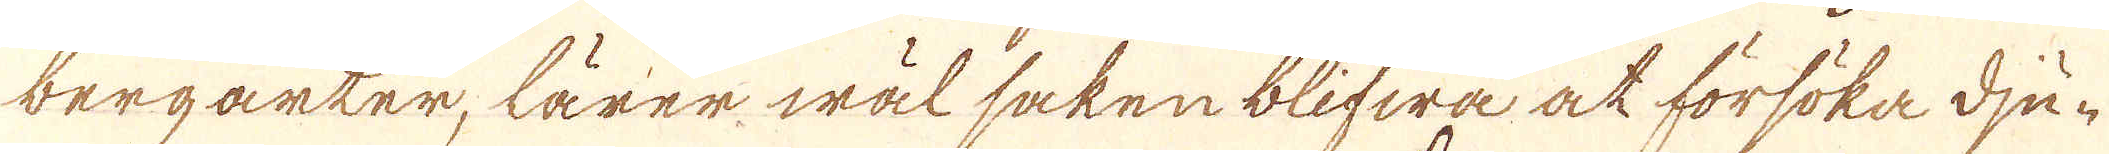bergarter, lärer wäl saken blifwa at försöka dju-
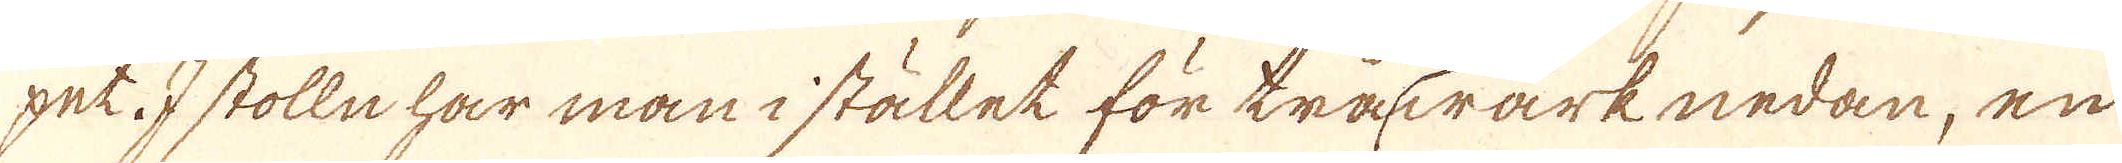pet. I stolln har man i stället för trävärk nedan, en
